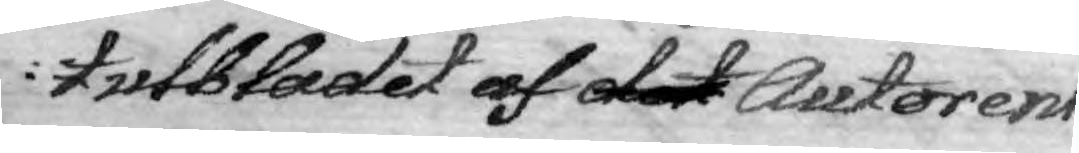tulsbladet af det Autorens
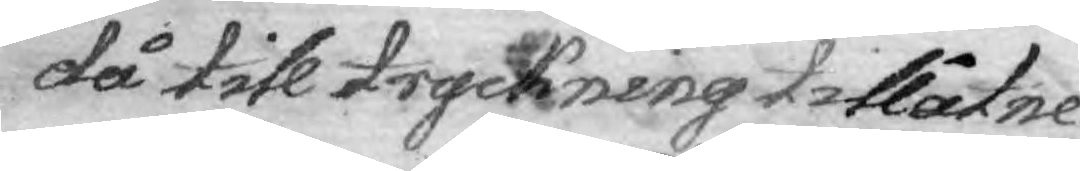då till tryckning tillåtne
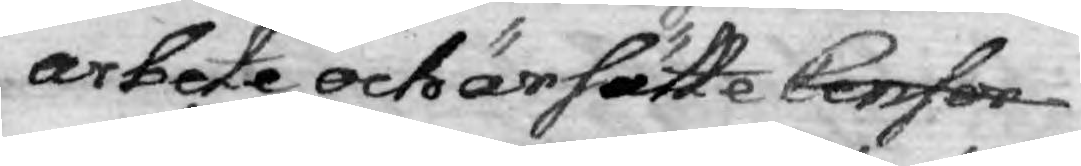arbete och ärsätte Censor
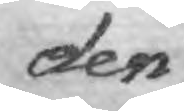den
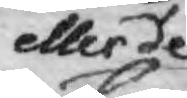eller de
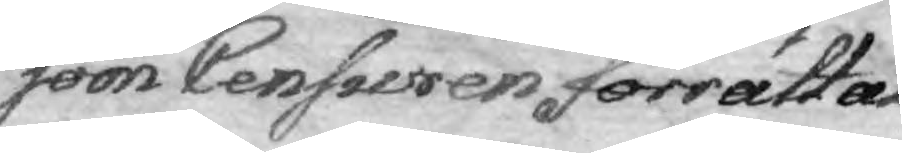som Censuren förrättat
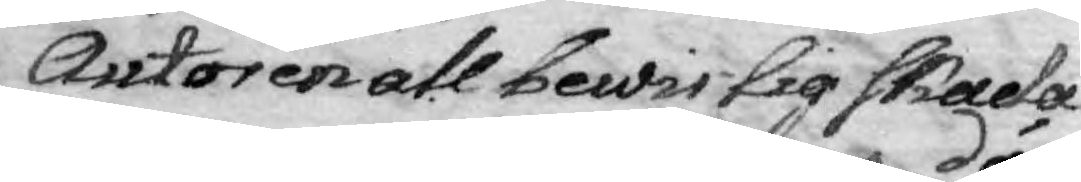Autoren all bewislig skada
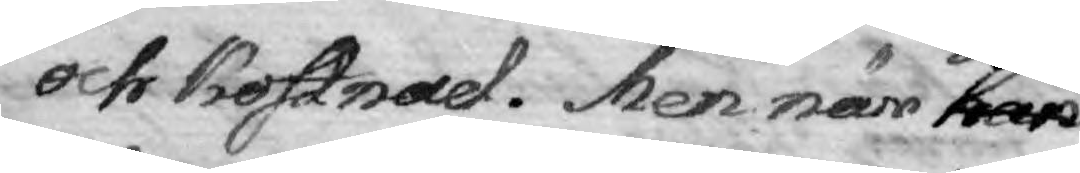och kostnad. Men när han
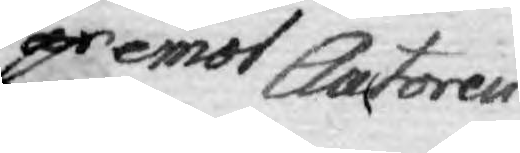är emot Auctoren
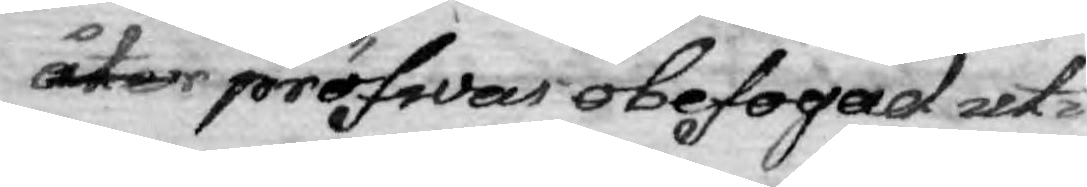åter pröfwas obefogad uti
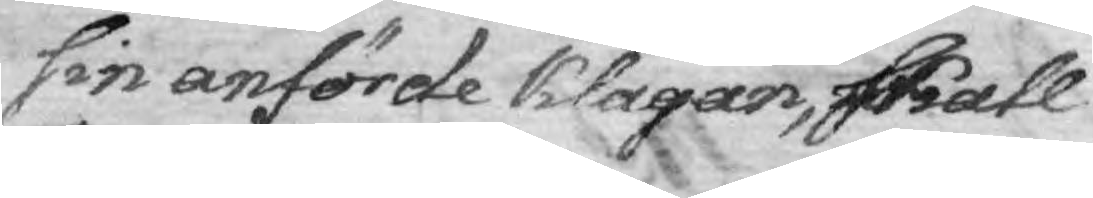sin anförde klagan, skall
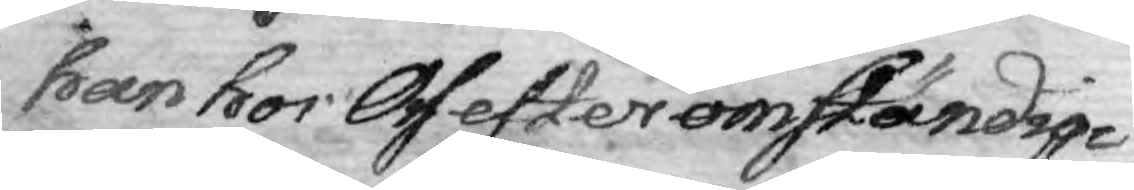han hos Oss efter omständig¬
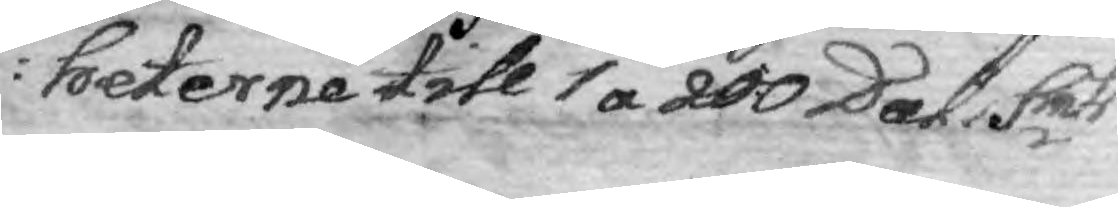heterne till 1 a 200 Dal. Smts
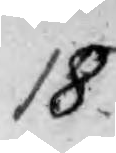18.
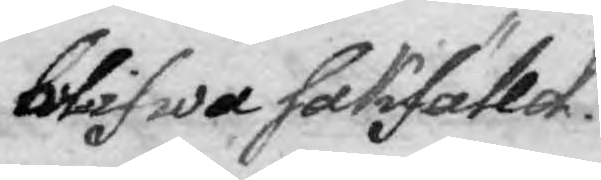böter blifwa sakfälld.
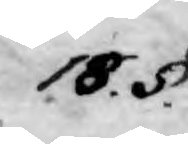18. §.
